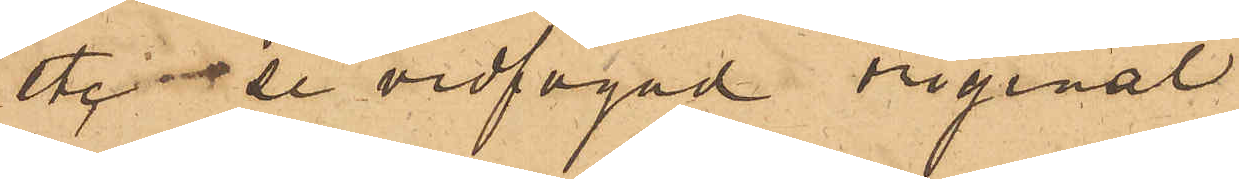uti de vidfogad original
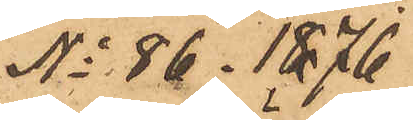No 86. 1876
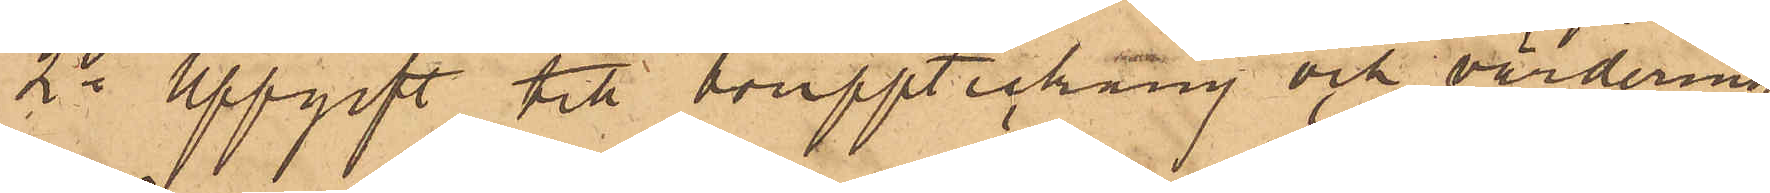2o uppgift till bouppteckning och värdering
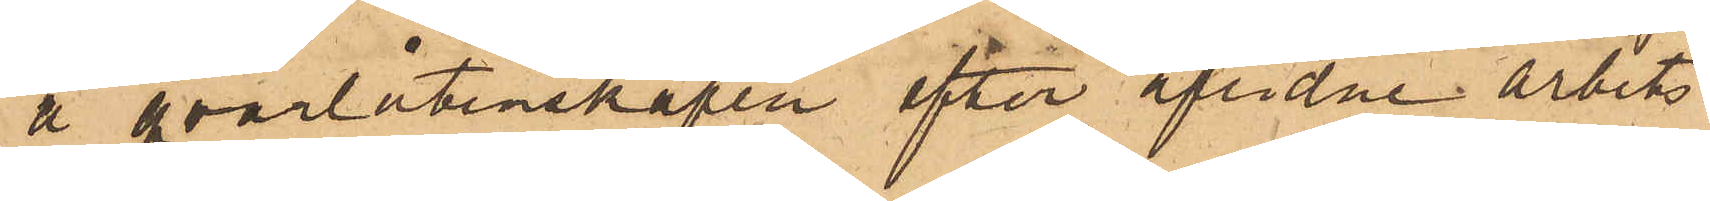å qvarlåtenskapen efter aflidne arbets¬
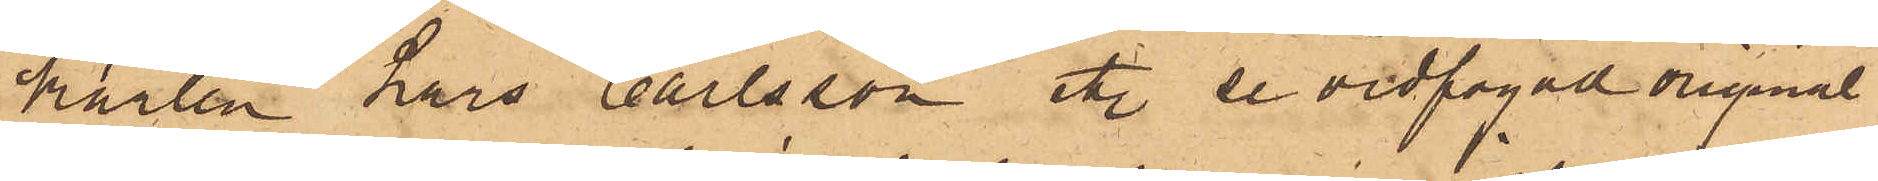karlen Lars Carlsson uti de vidfogad original
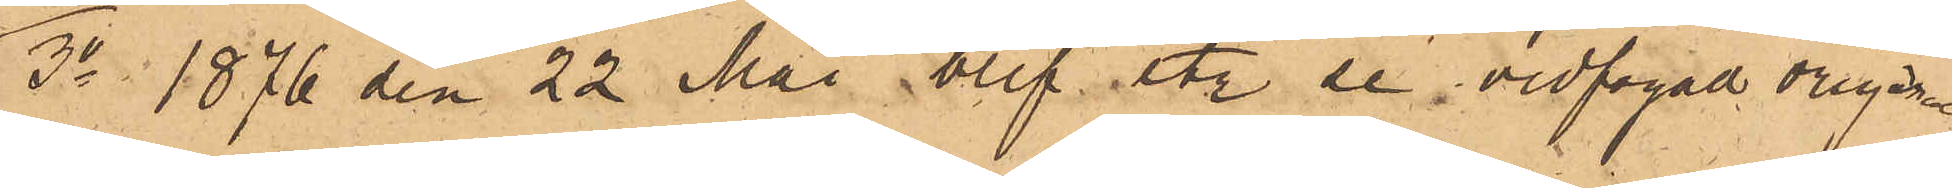3o 1876 den 22 Maj, blef uti de vidfogad original
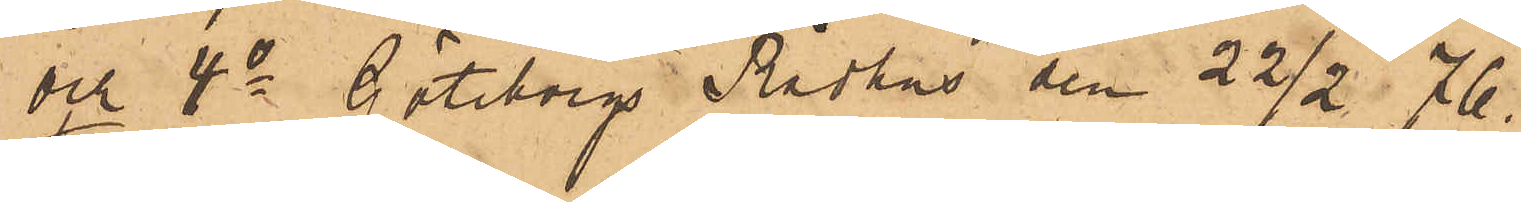och 4o Göteborgs Rådhus den 22 1/2 76.
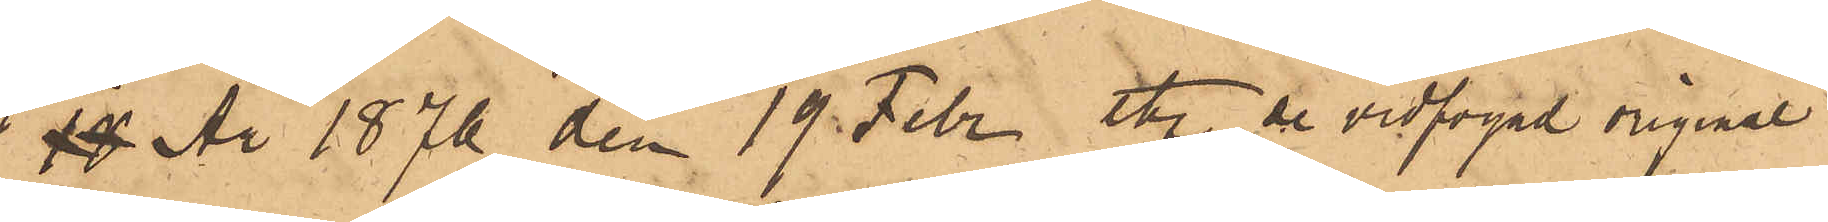År 1876 den 19 Febr uti de vidfogad original
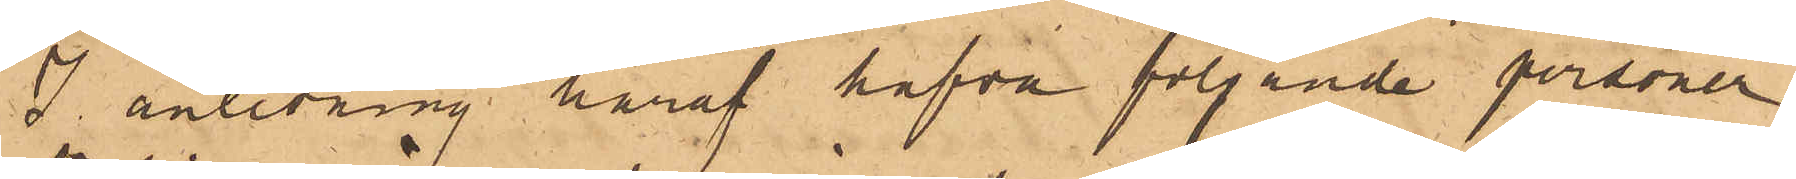I anledning häraf hafva följande personer
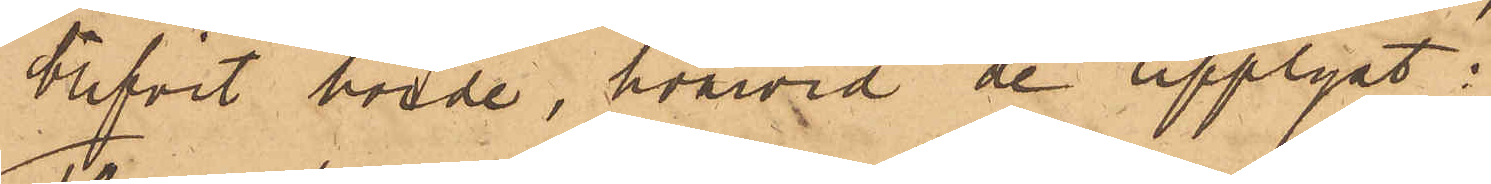blifvit hörde, hvarvid de upplyst:
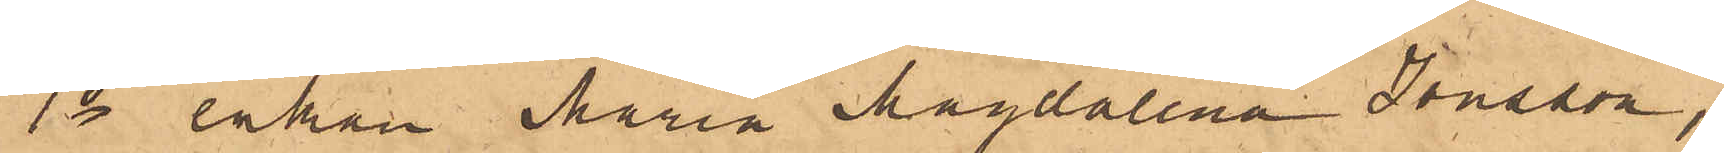1o enkan Maria Magdalena Jonsson,
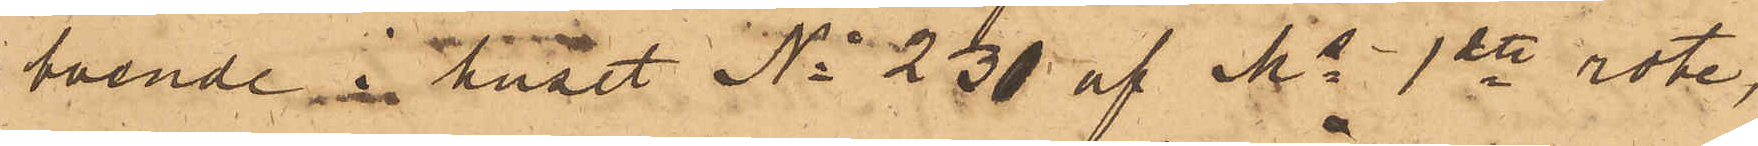boende i huset No 230 af Ms 1ste rote,
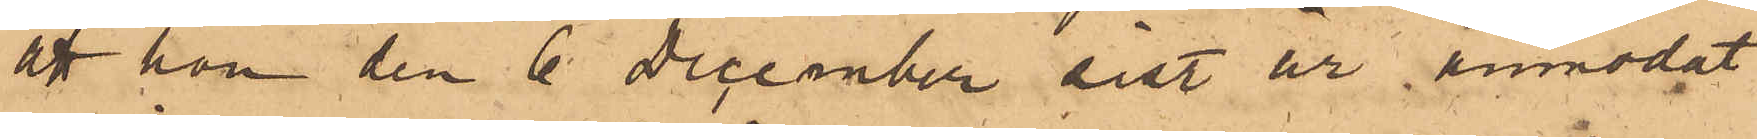att hon den 6 December sist år anmodat
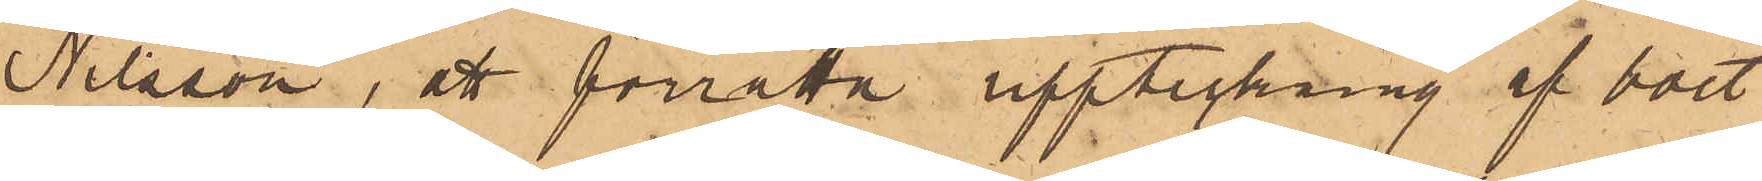Nilsson, att förrätta uppteckning af boet
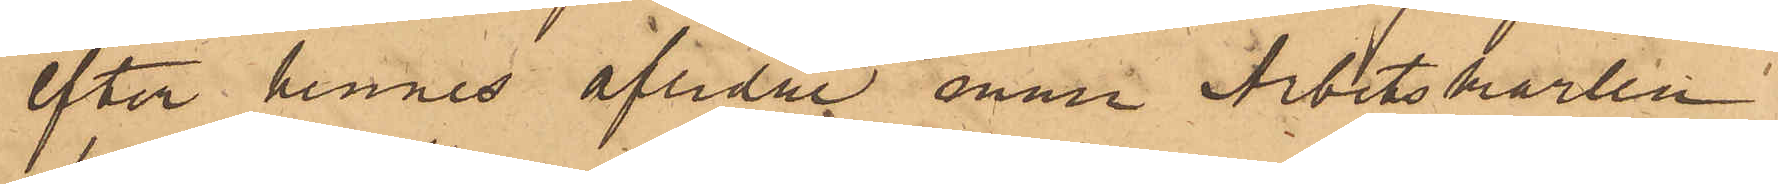efter hennes aflidne man Arbetskarlen
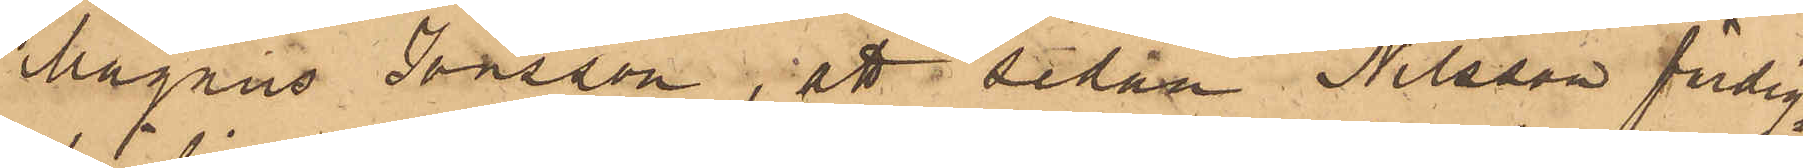Magnus Jonsson, att sedan Nilsson färdig¬
